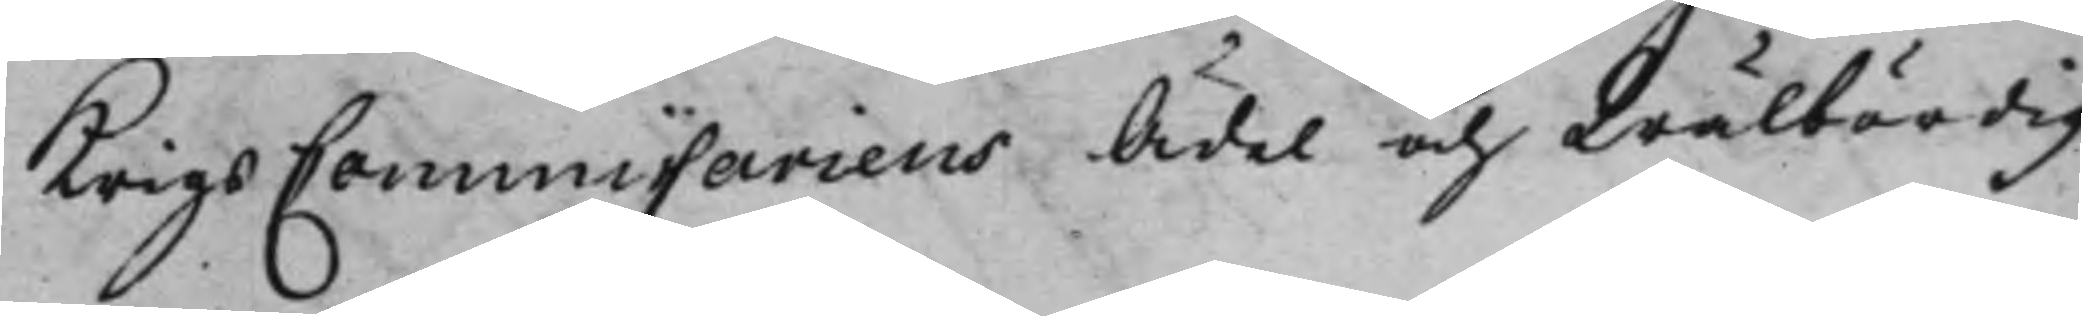KrigsCommissariens Ädel och Wälbördig
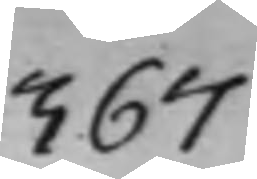367
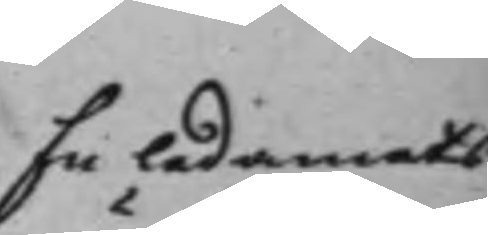En ledamots
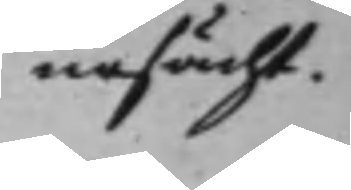ursächt.
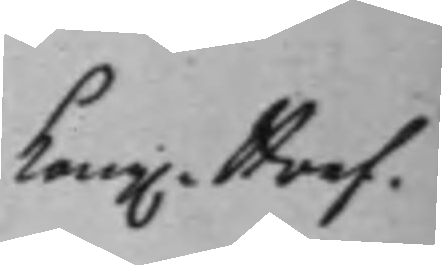Kong: Bref.
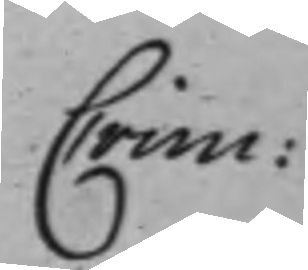Crim:
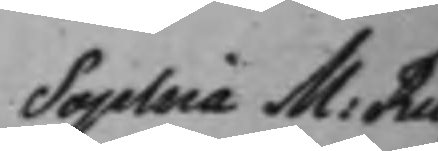Sophia M: Ru¬
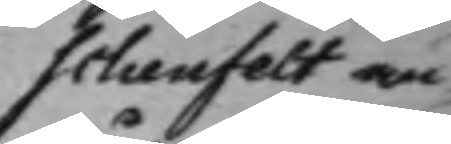schenfelt an¬
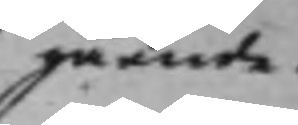gående.
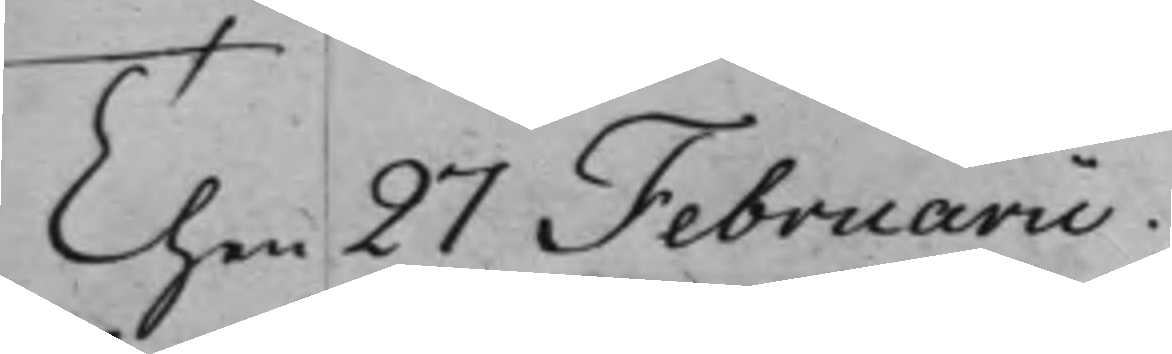Then 27 Februarii.
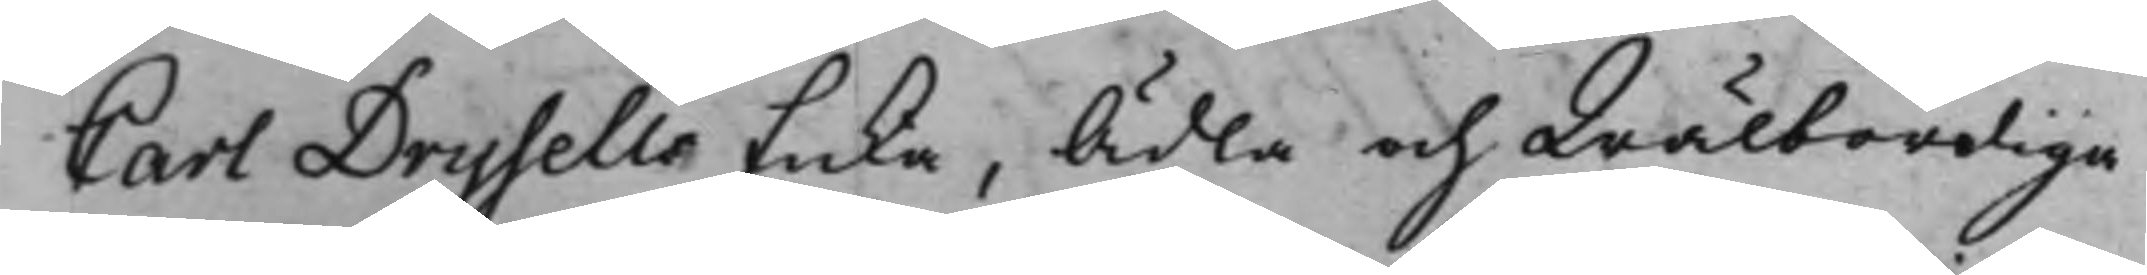Carl Drysells Enka, Ädla och Wälbördiga
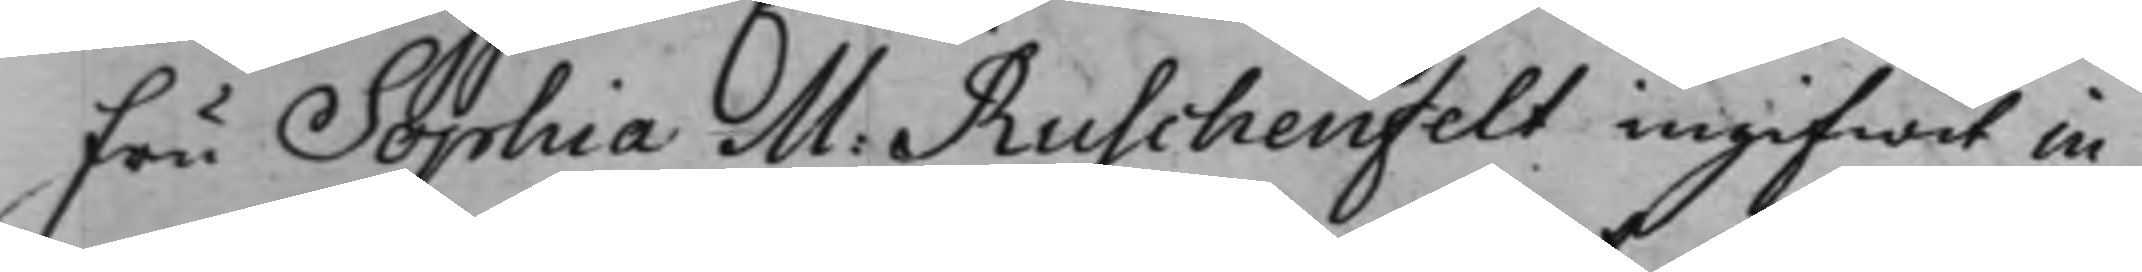Fru Sophia M: Ruschenfelt ingifwit in¬
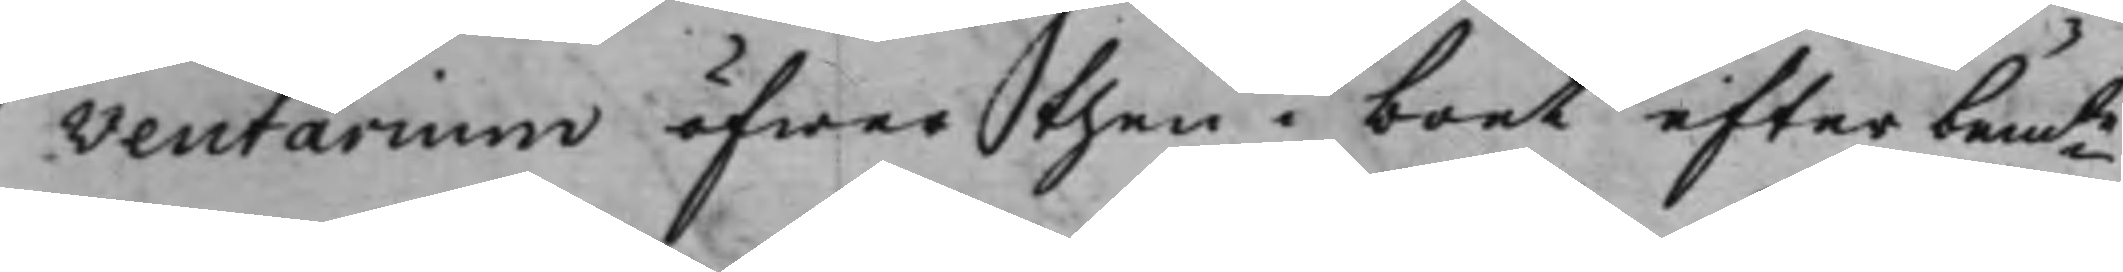ventarium öfwer then i boet efter bemte
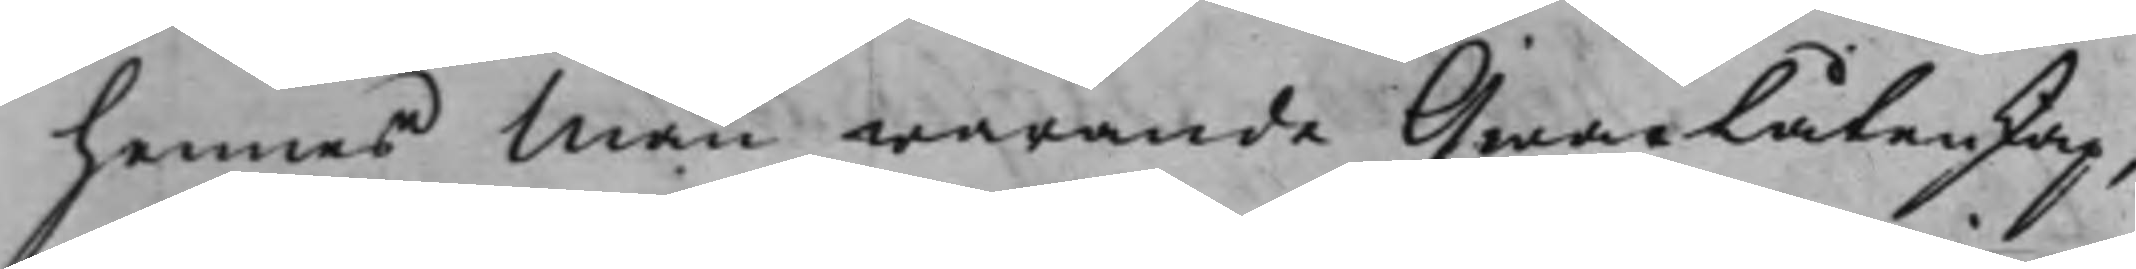hennes Man warande Qwarlåtenskap,
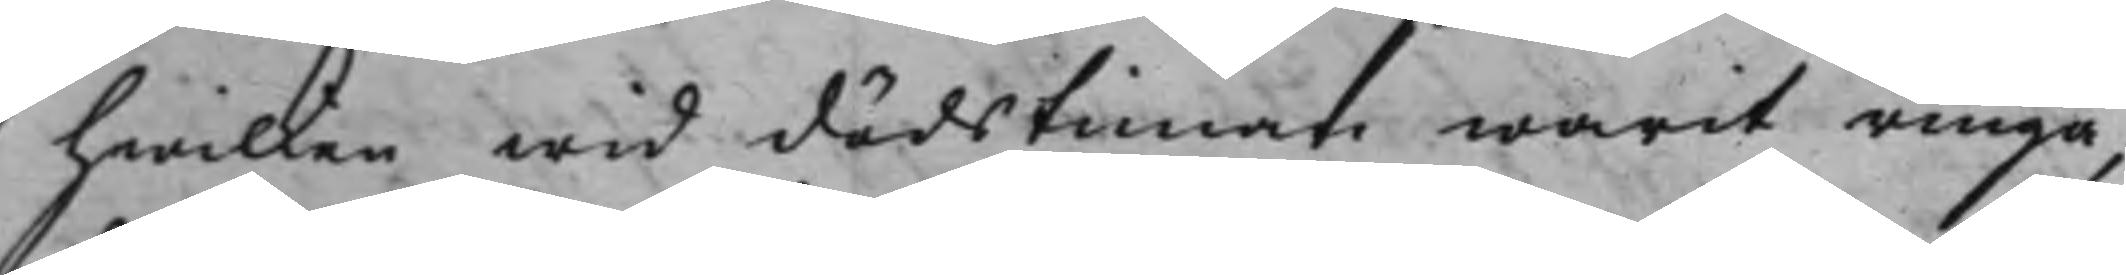hwilken wid dödstiman warit ringa,
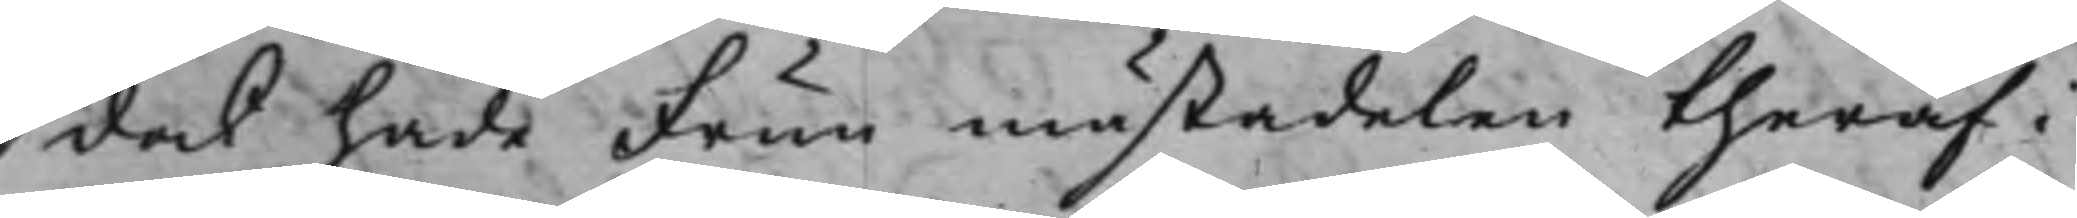det hade Frun mästadelen theraf i
